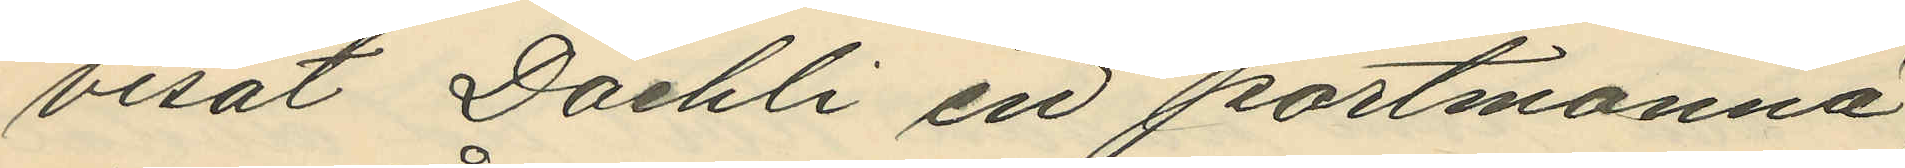visat Daehli en portmonnä,
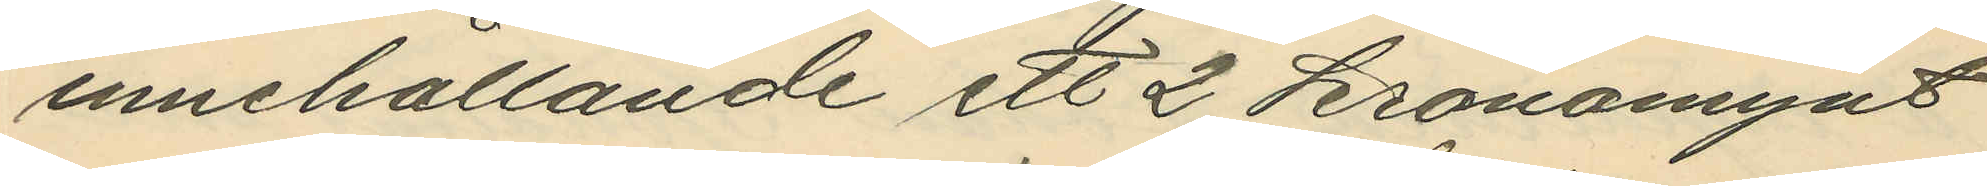innehållande ett 2 kronomynt
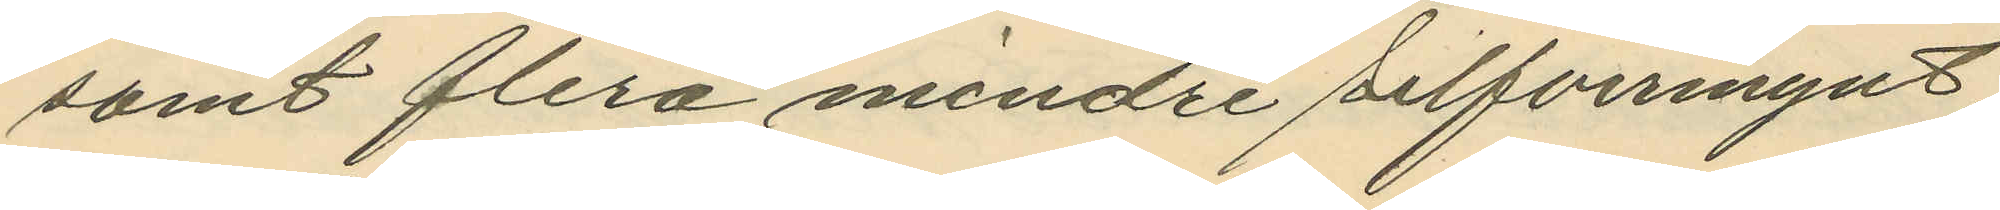samt flera mindre silfvermynt;
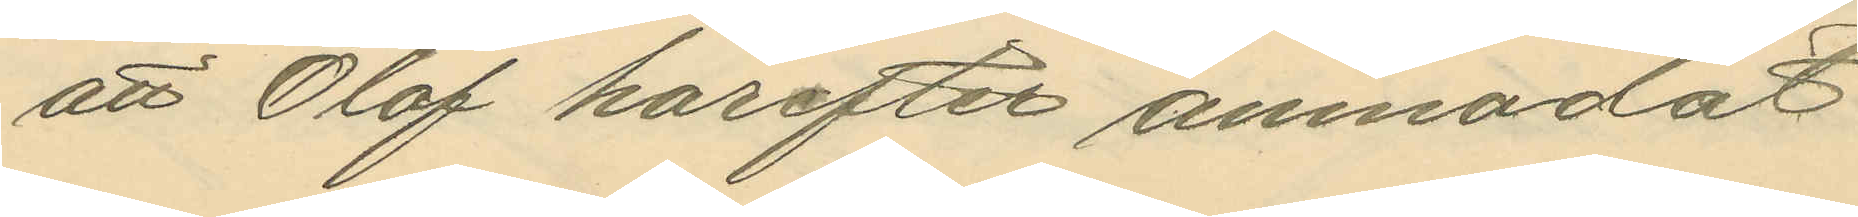att Olof härefter anmodat
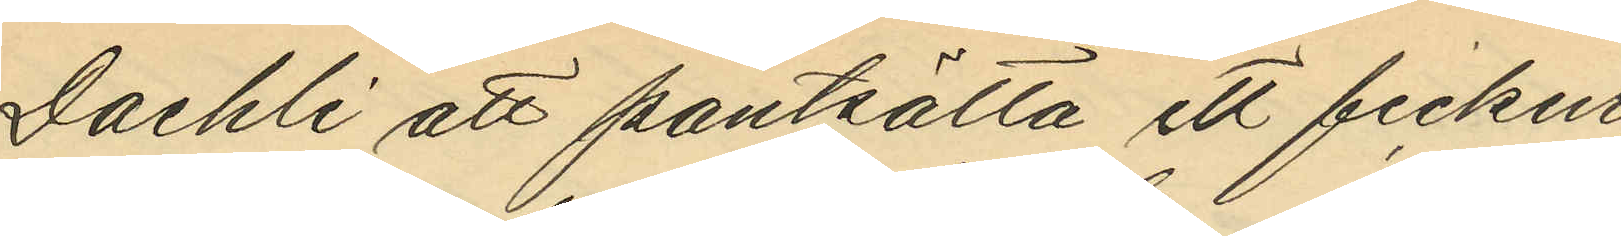Daehli att pantsätta ett fickur,
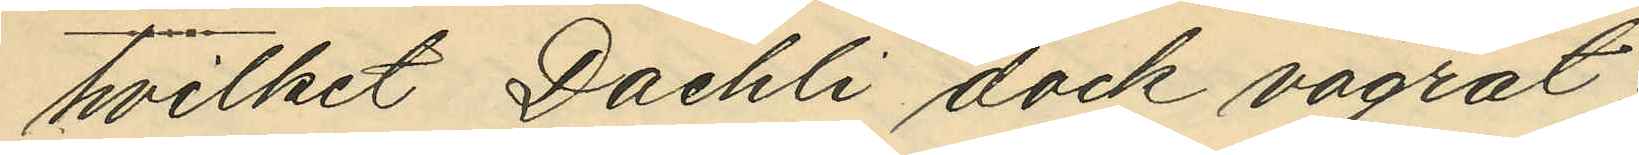hvilket Daehli dock vägrat;
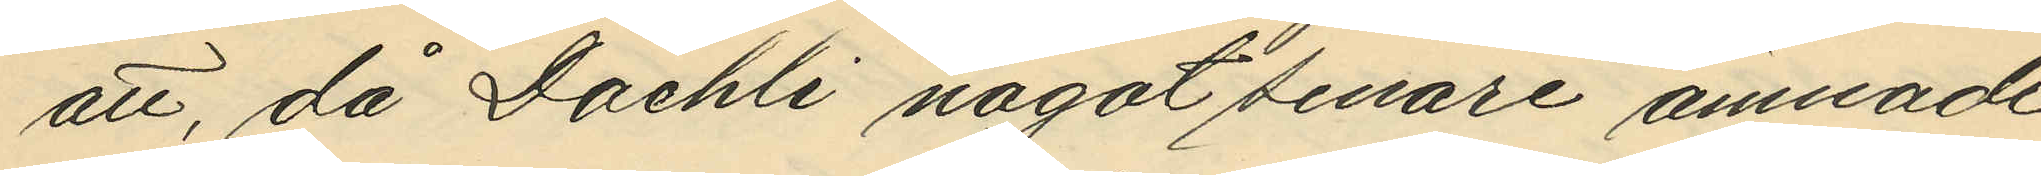att, då Daehli något senare ämnade
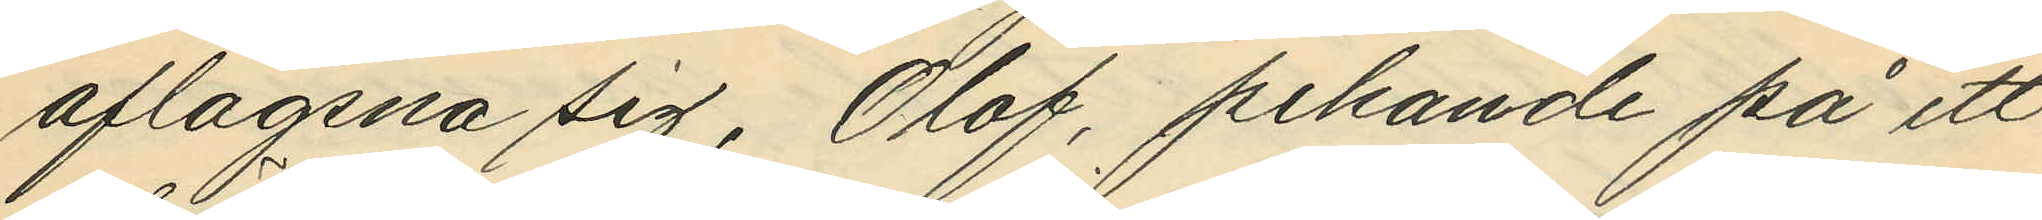aflägsna sig, Olof, pekande på ett
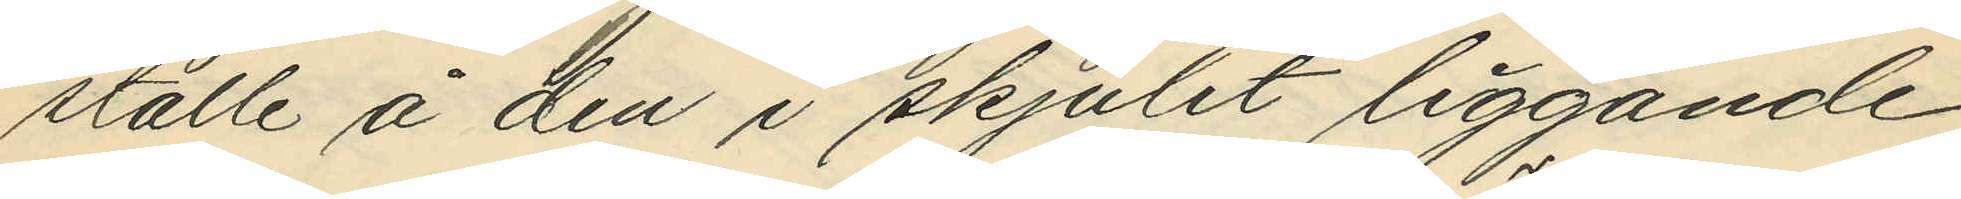ställe å den i skjulet liggande
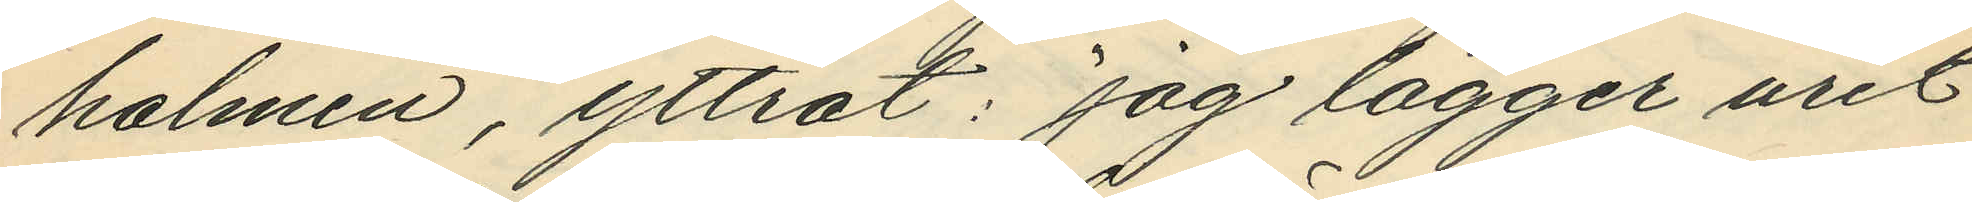halmen, yttrat: "jag lägger uret
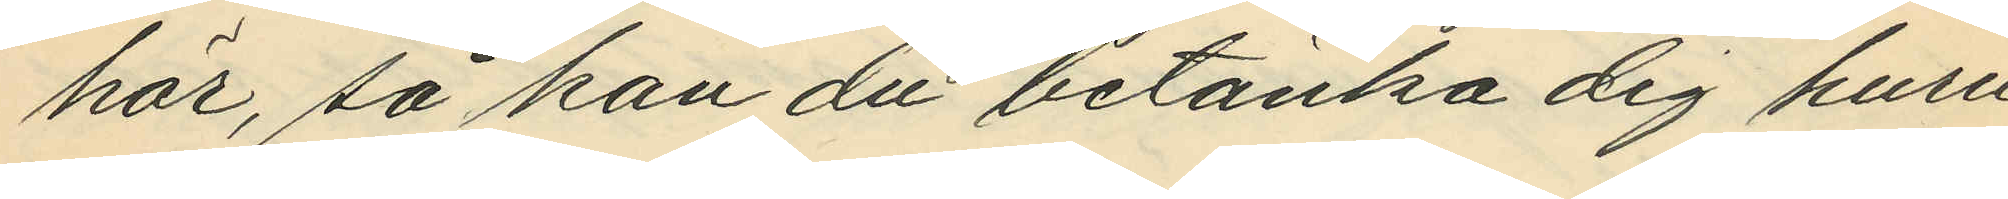här, så kan du betänka dig huru
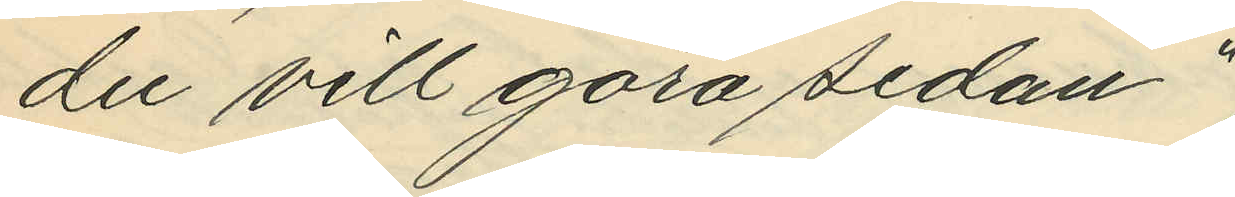du vill göra sedan";
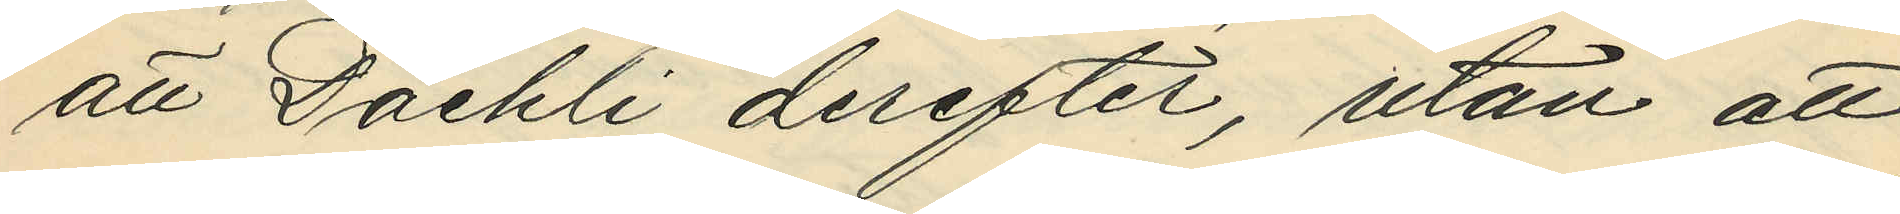att Daehli derefter, utan att
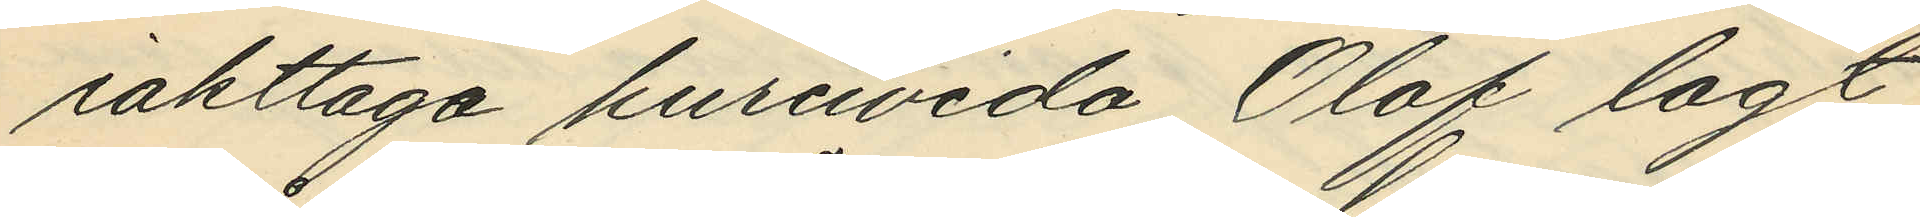iakttaga huruvida Olof lagt
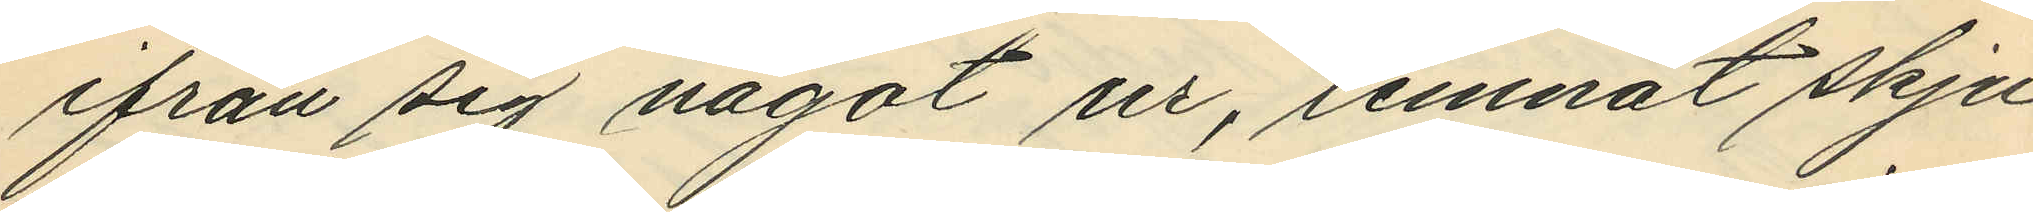ifrån sig något ur, lemnat skju¬
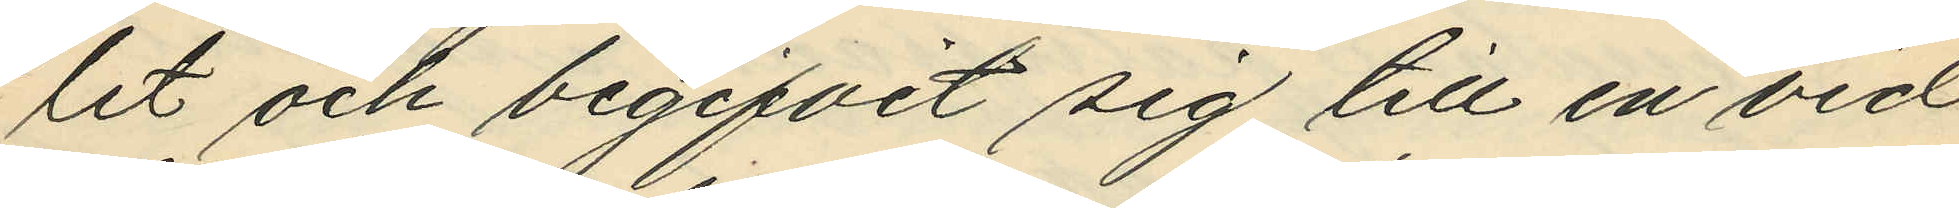let och begifvit sig till en vid
